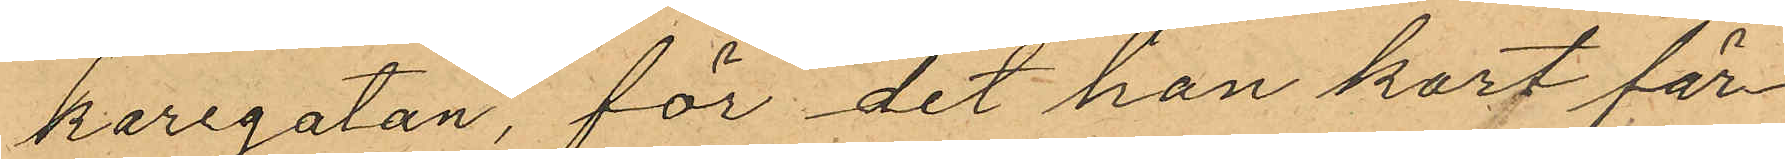karegatan, för det han kort för¬
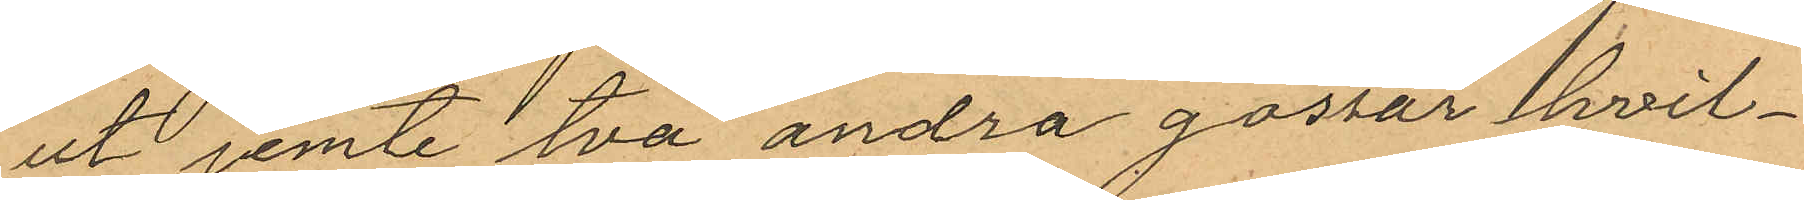ut jemte två andra gossar hvil¬
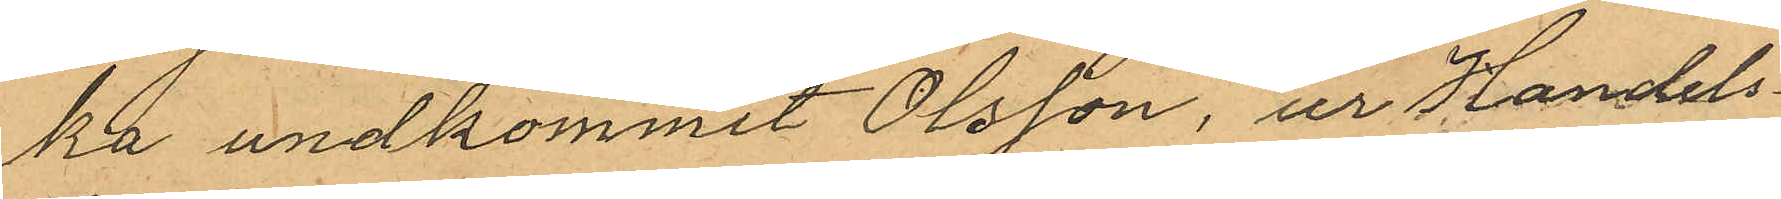ka undkommit Olsson, ur Handels¬
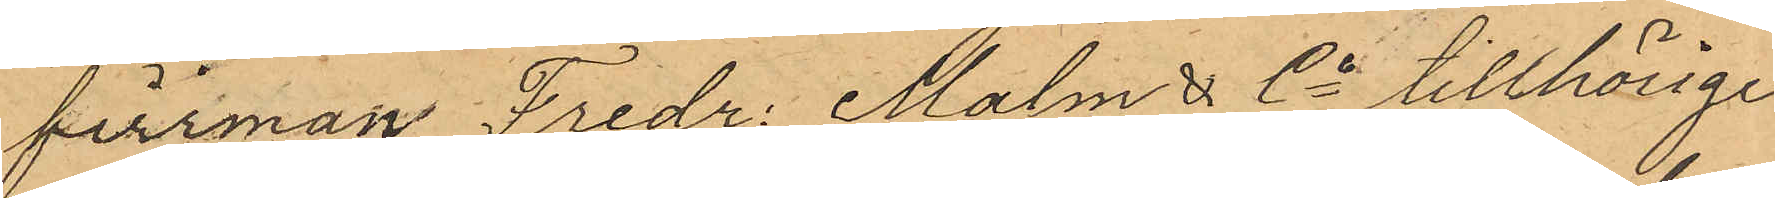firrman Fredr: Malm & Co tillhörige
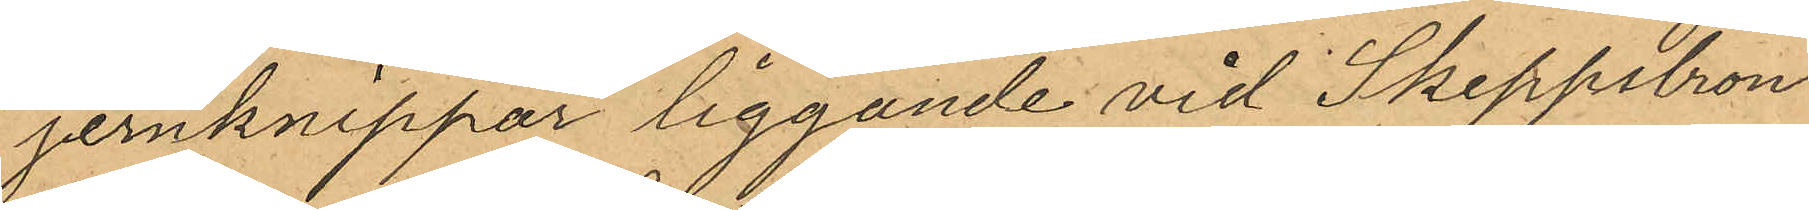jernknippar liggande vid Skeppsbron
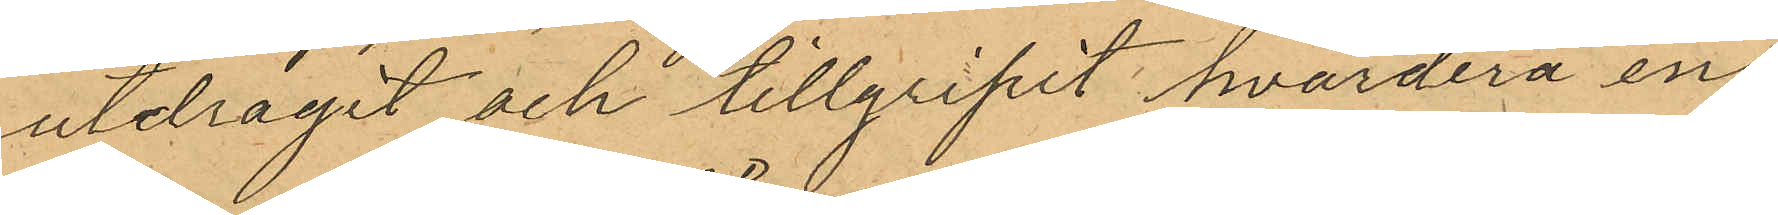utdragit och tillgripit hvardera en
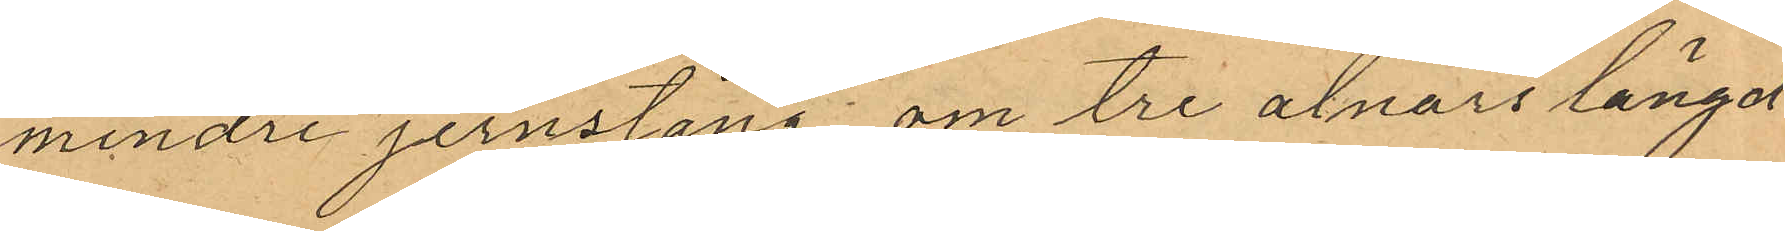mindre jernstång om tre alnars längd
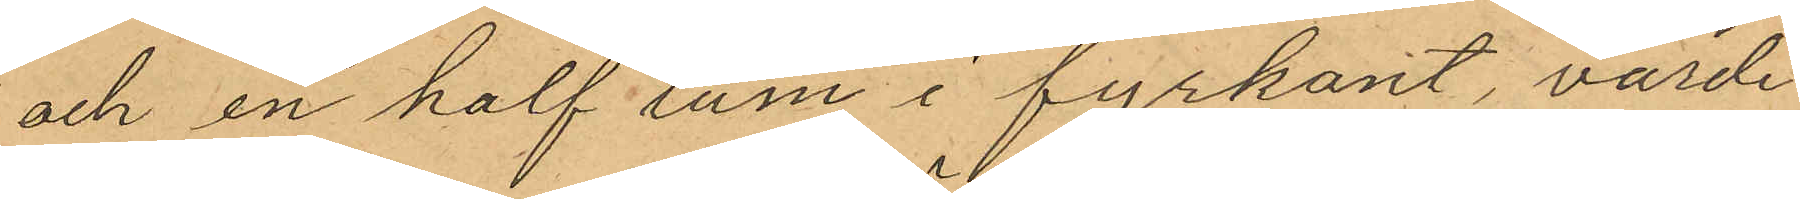och en half tum i fyrkant, värde
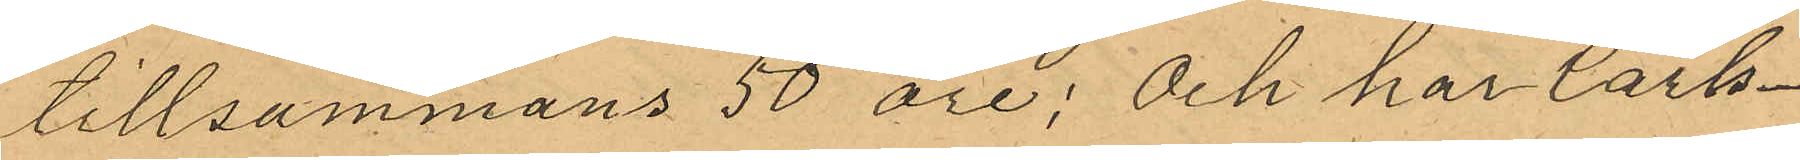tillsammans 50 öre; och har Carls¬
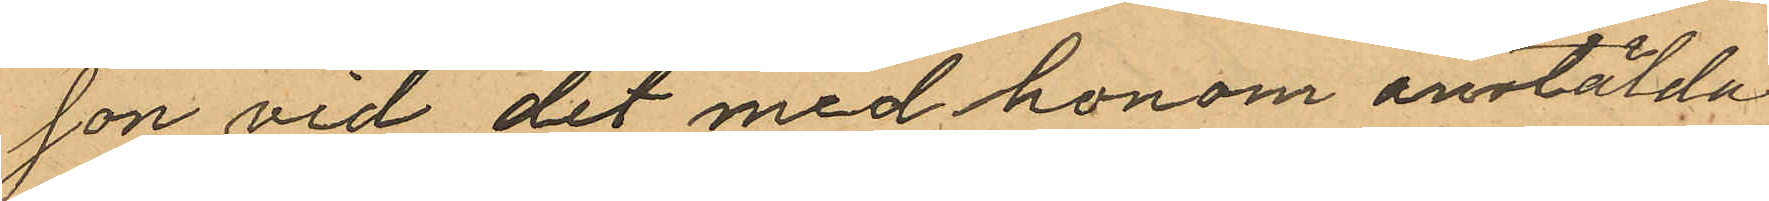son vid det med honom anstälda
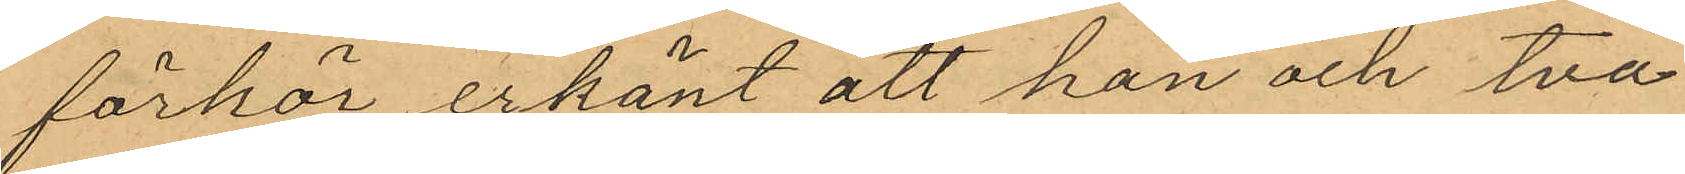förhör erkänt att han och två
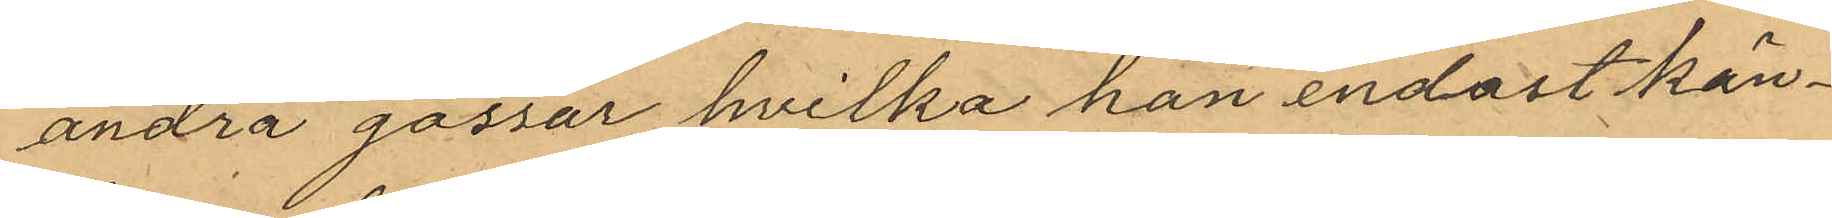andra gossar hvilka han endast kän¬
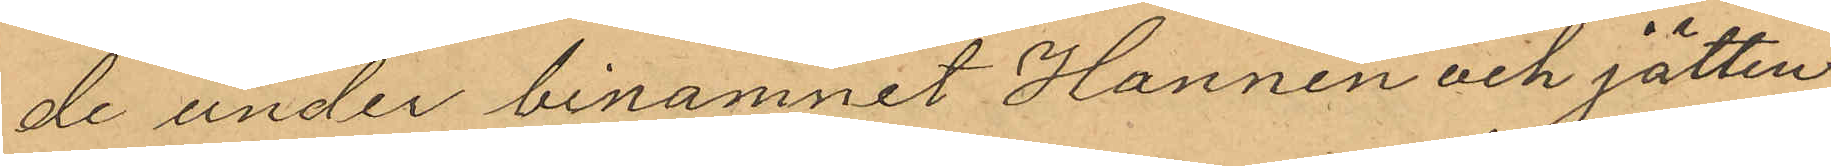de under binamnet Hannen och jätten
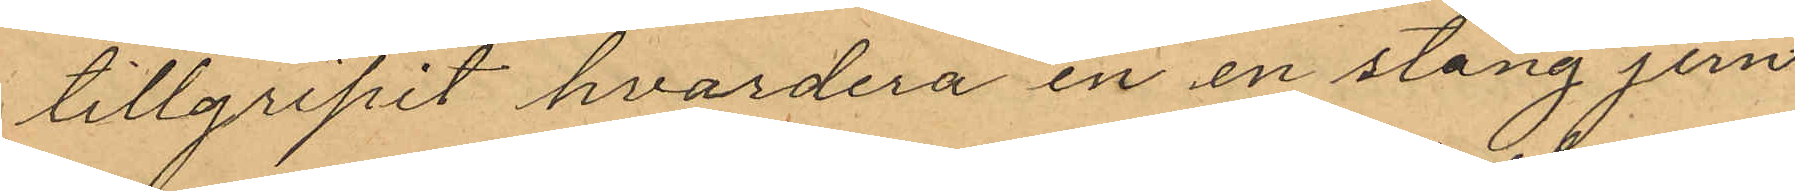tillgripit hvardera en en stång jern
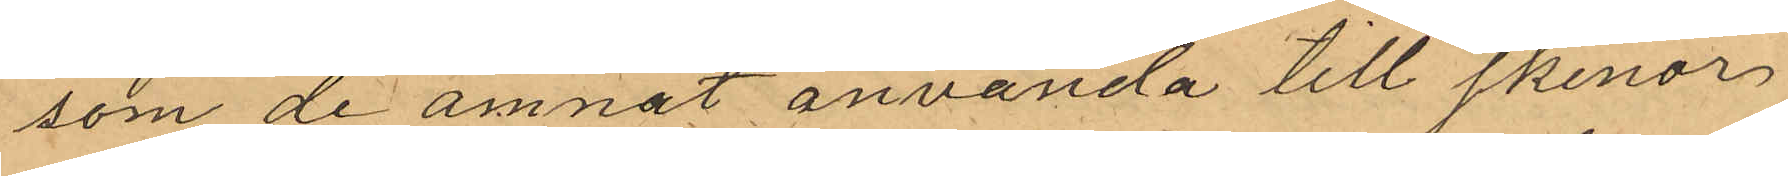som de ämnat använda till skenor
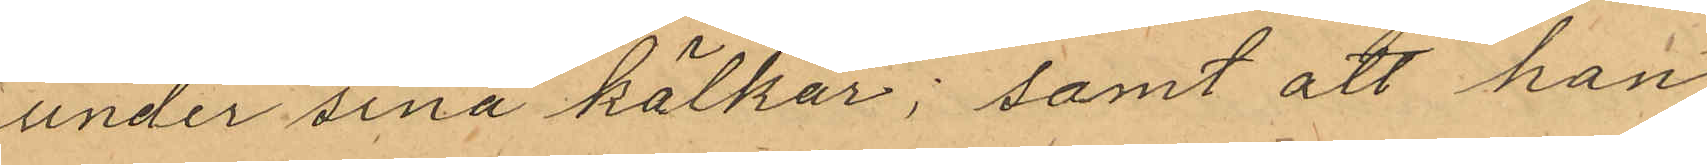under sina kälkar; samt att han
